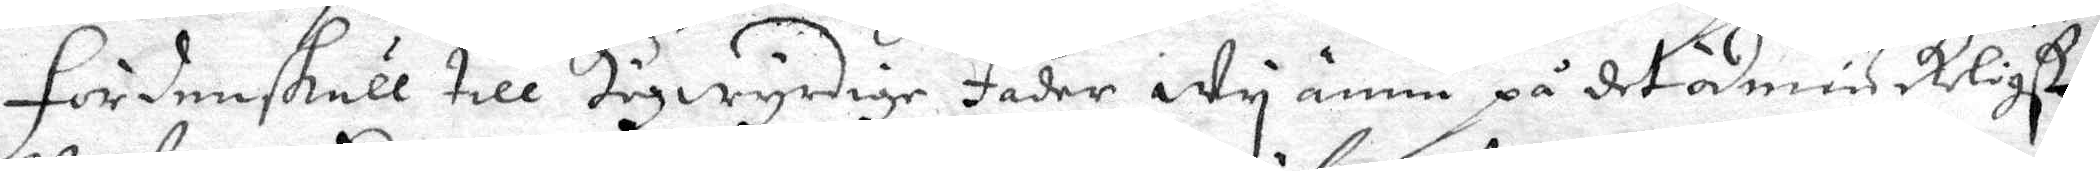Fördenskull till Högwyrdige Fader Wy ännu på det ödmiukligst
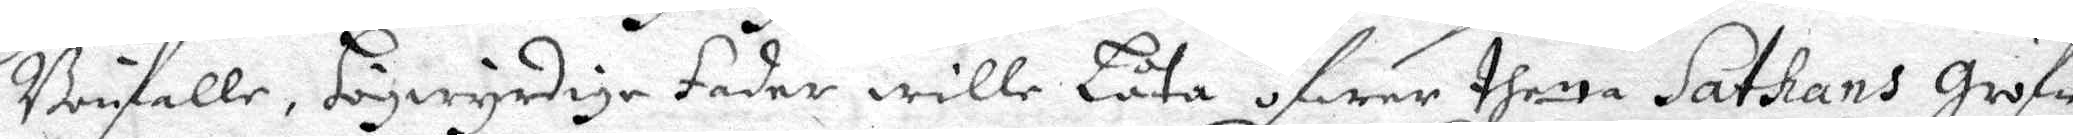Bönfalle, Högwyrdige Fader wille Låta öfwer thetta Sathans Gruf¬
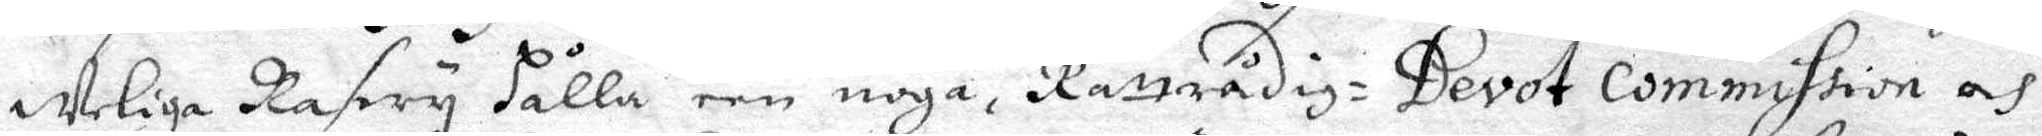weliga Rasery hålla een noga, Rättrådig: Devot Commission och
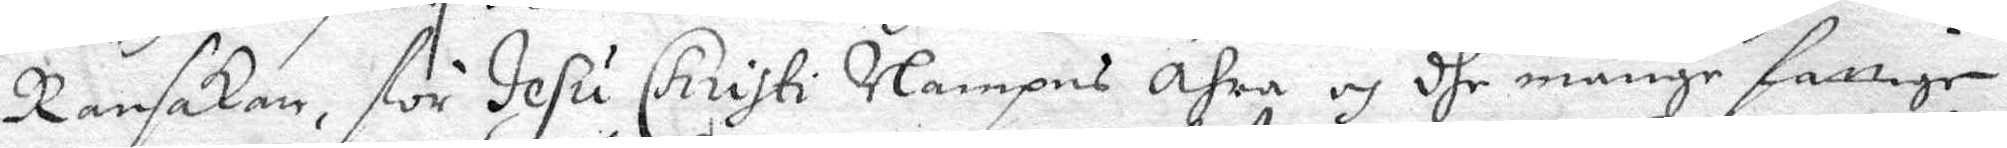Ransakan, för Jesu Christi Nampns Ähra och dhe månge fattige
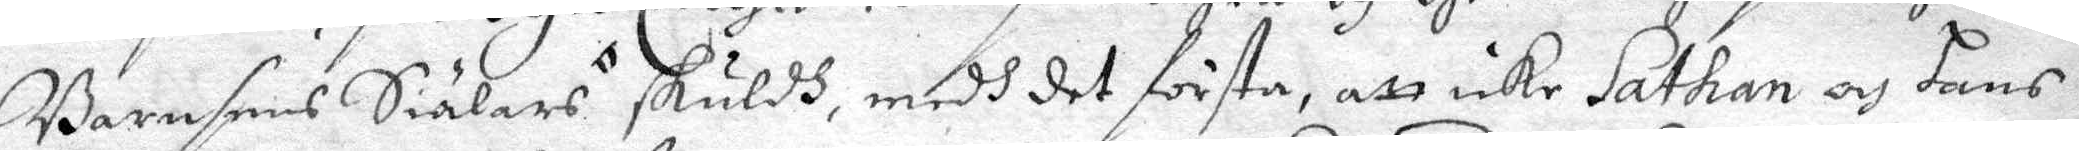Barnsens Siälars skuldh, medh det första, att icke Sathan och hans
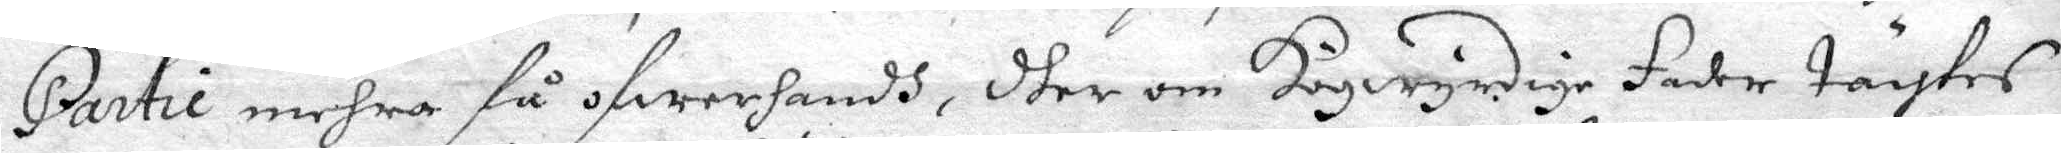Partie mehra få öfwerhandh, dher om Högwyrdige Fader tängtes
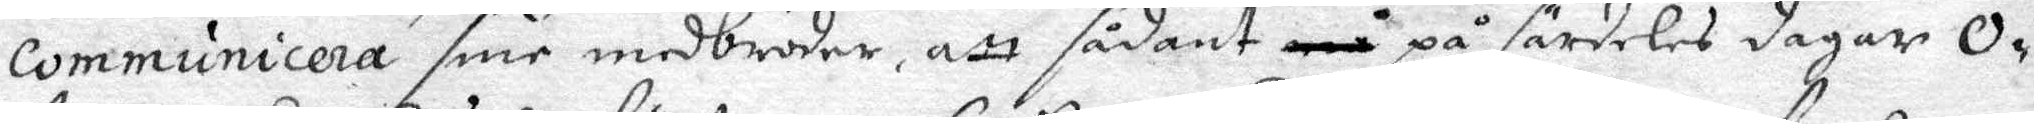Communicera sine medbröder, att sådant må på särdeles dagar O¬
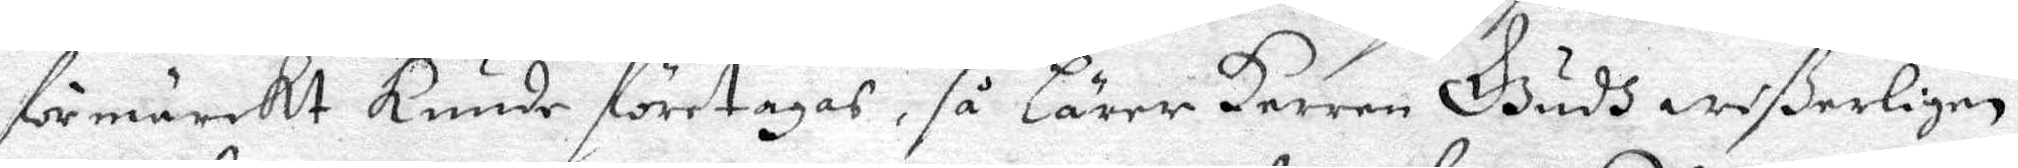förmärckt Kunde företagas, så lärer Herren Gudh wißerligen
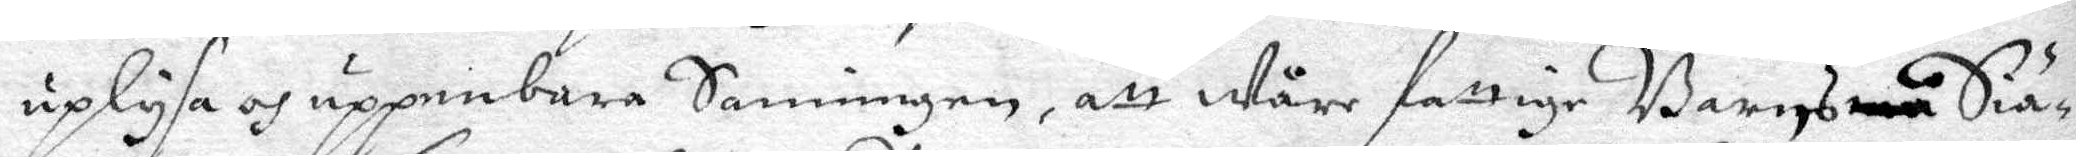uplysa och uppenbara Sanningen, att wåre fattige Barns små Siä¬
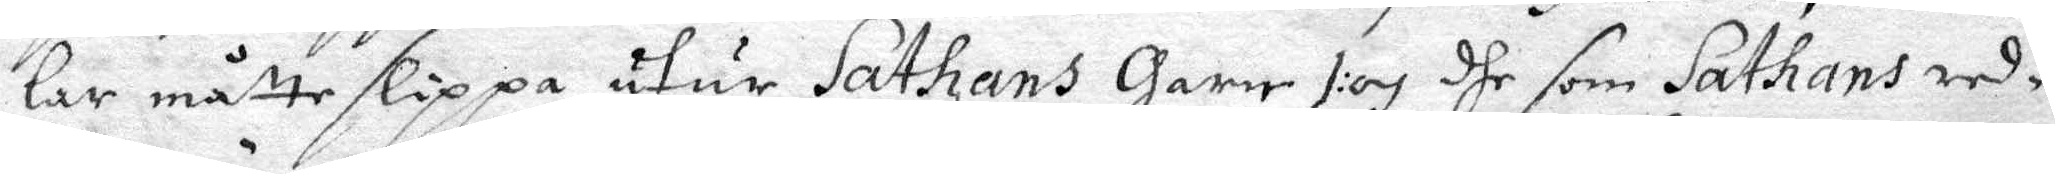lar måtte slippa utur Sathans Garne tiog dhe som Sathans red¬
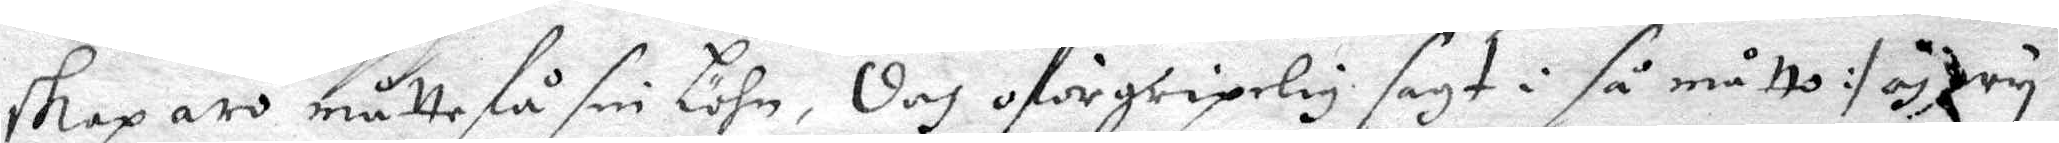skap äro måtte få sin löhn, doch oförgripelig sagt i så måtto :/och wy
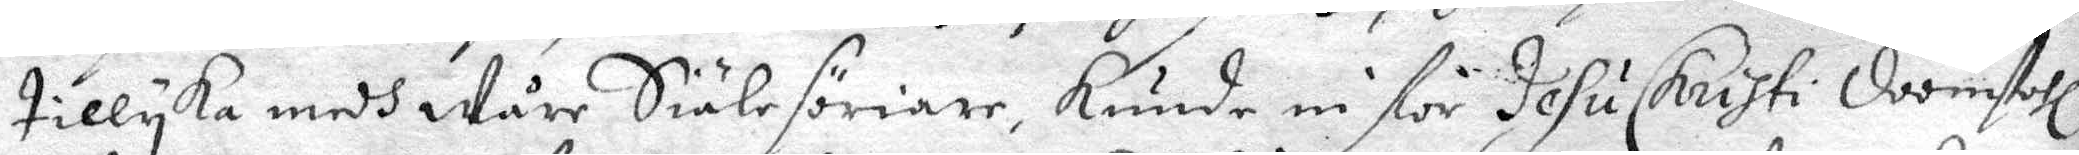tillyka medh Wåre Siälesöriare, Kunde ni för Jesu Christi Doomstohl
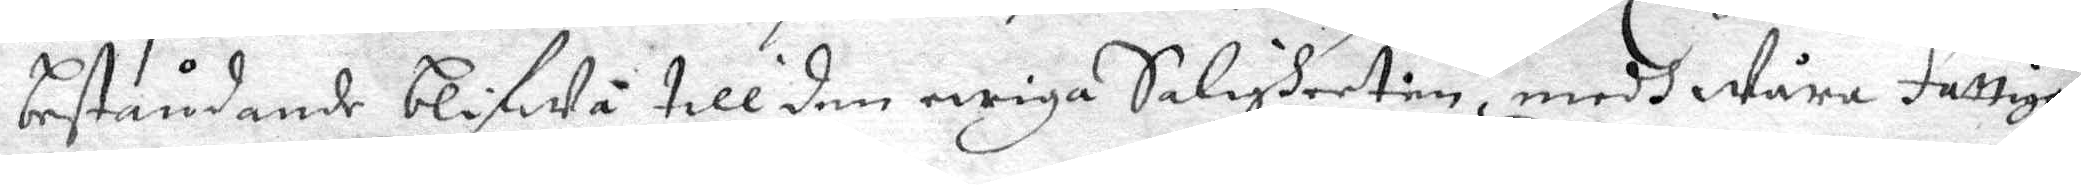beståndande blifwa till den ewiga Saligheeten, medh Wåra Fattiga
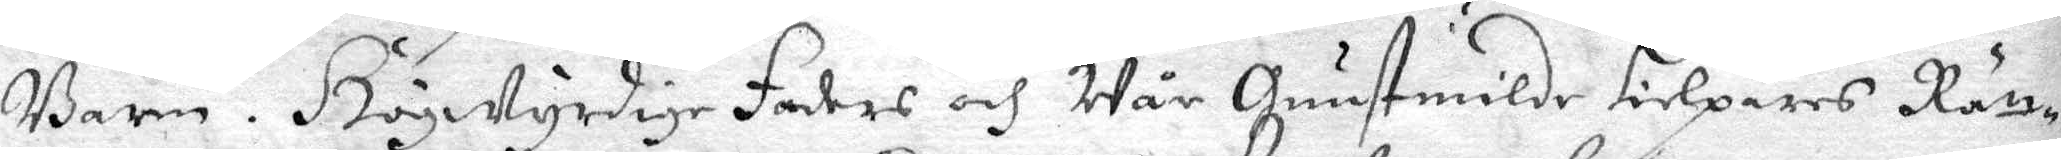Barn. Högwyrdige Faders och Wår Gunstmilde Hielpares Rätt¬
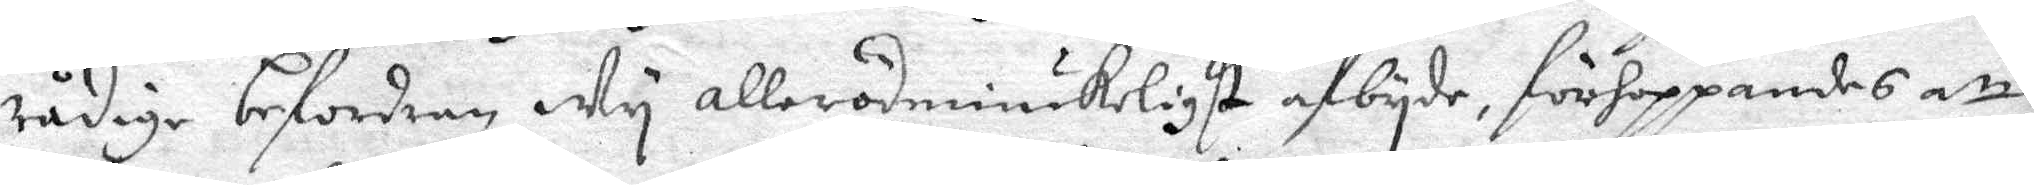rådige befordran Wy allerödmiukeligst afbyde, förhoppandes att
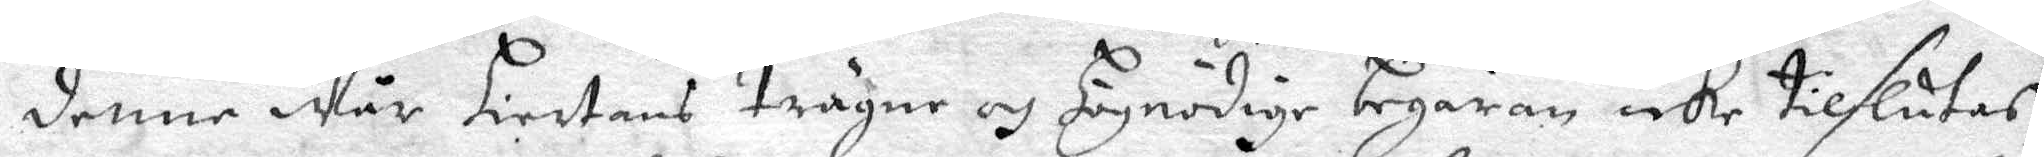denne Wår Hiertans trägne och Högnådige begäran icke tilslutas,
